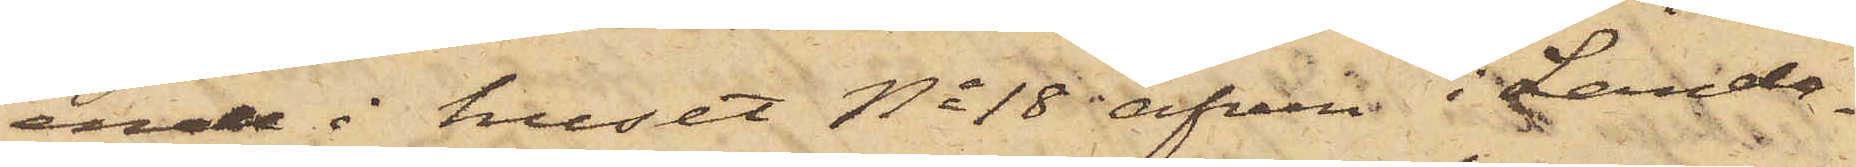ende i huset No 18 äfven i Landa¬
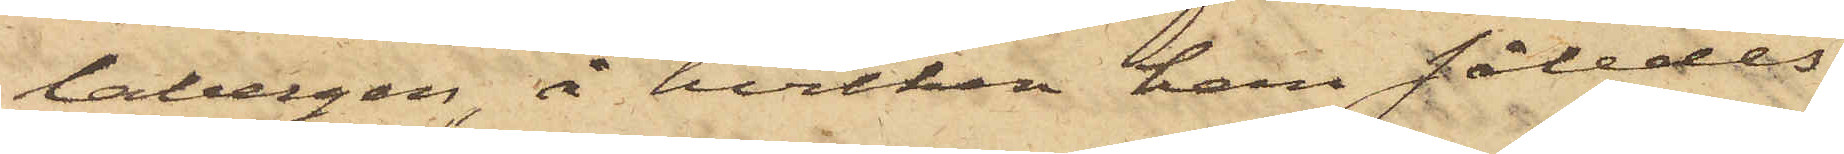labergen å hvilken han således
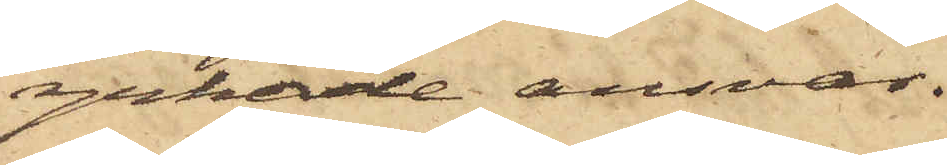yrkade ansvar.
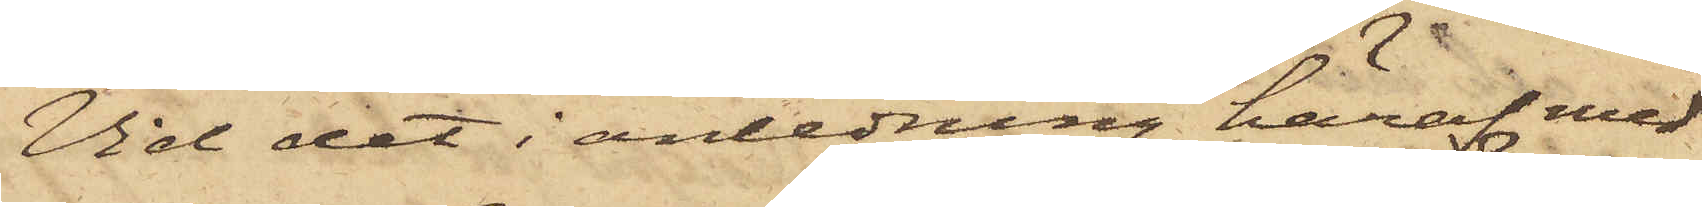Vid det i anledning häraf med
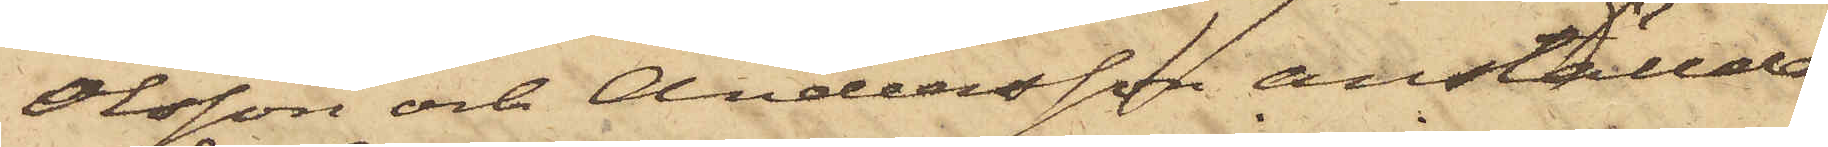Olsson och Andersson anställde
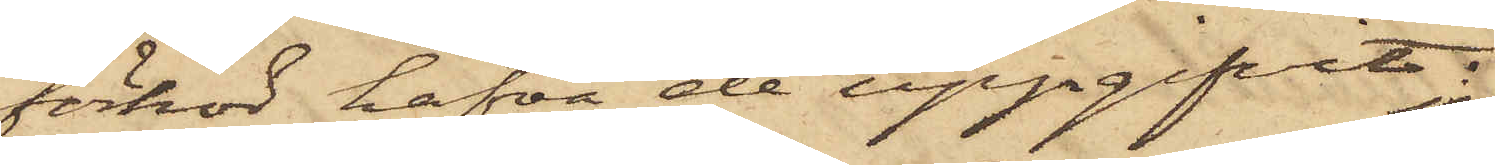förhör hafva de uppgifvit:
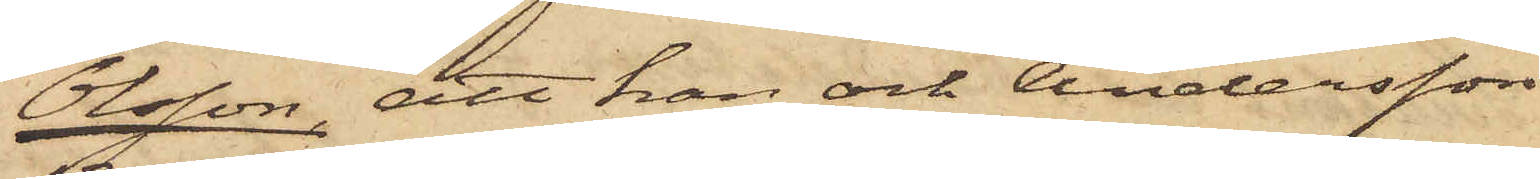Olsson, att han och Andersson
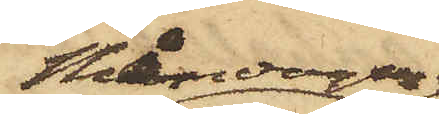Måndagen
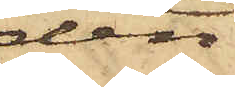den
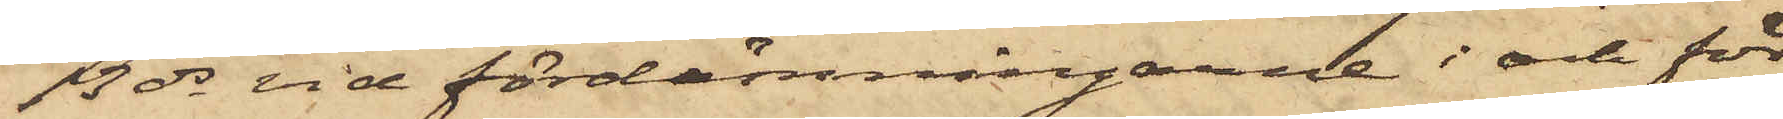13 ds vid fördämningarne i och för
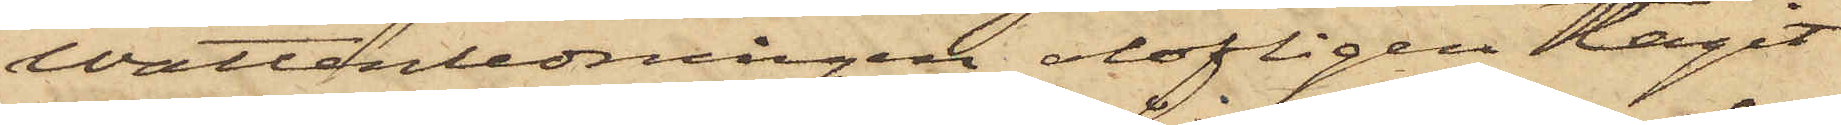vattenledningen olofligen tagit
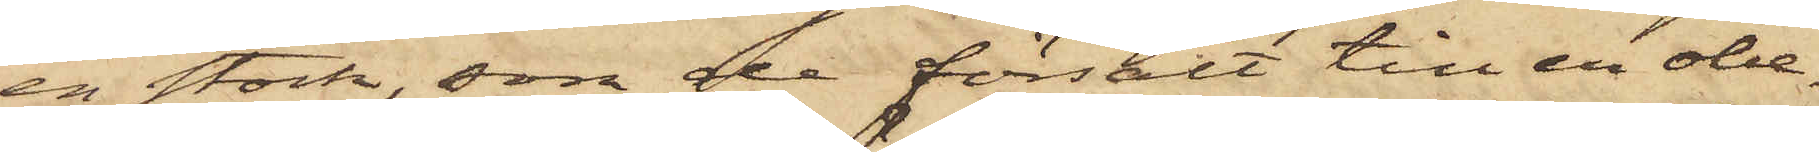en stock, som de försålt till en obe¬
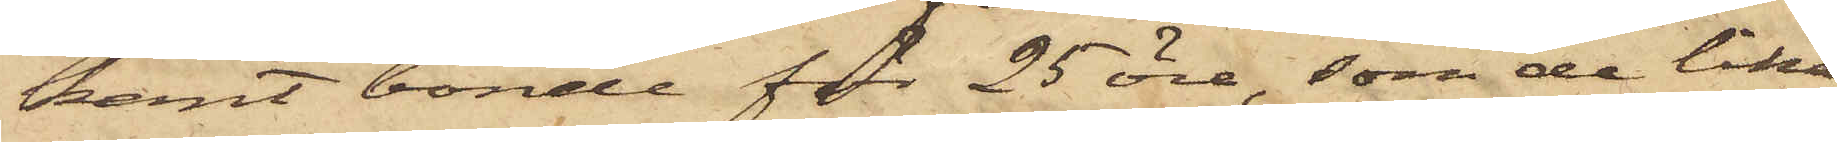kant bonde för 25 öre, som de lika
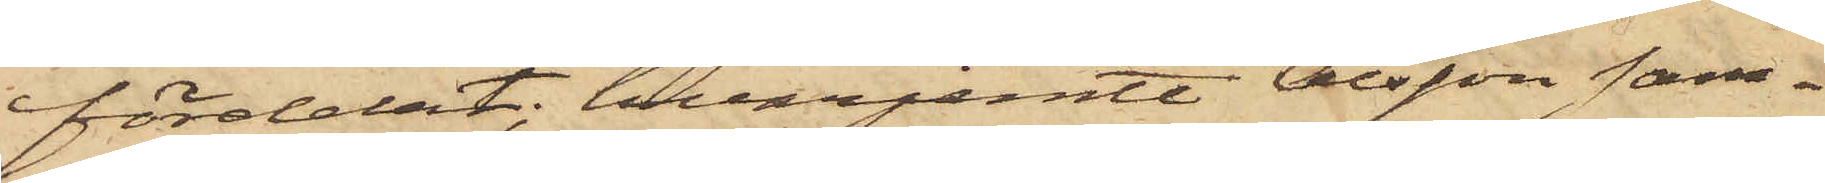fördelat, hvarjemte Olsson sam¬
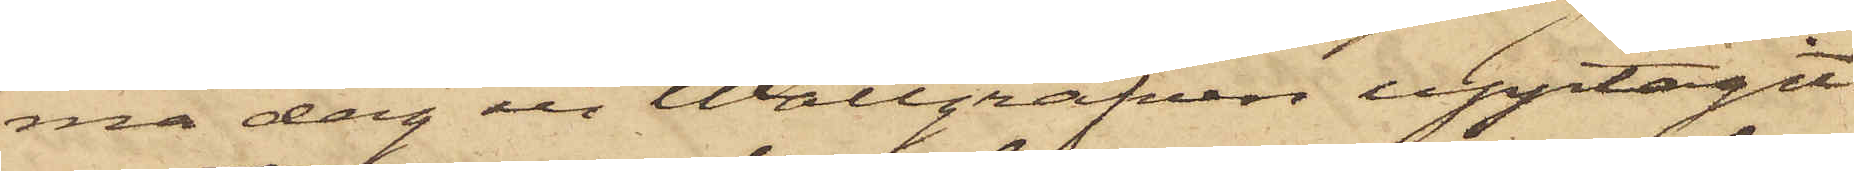ma dag ur Wallgrafen upptagit
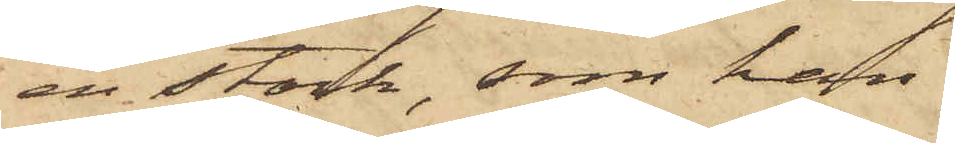en stock, som han
